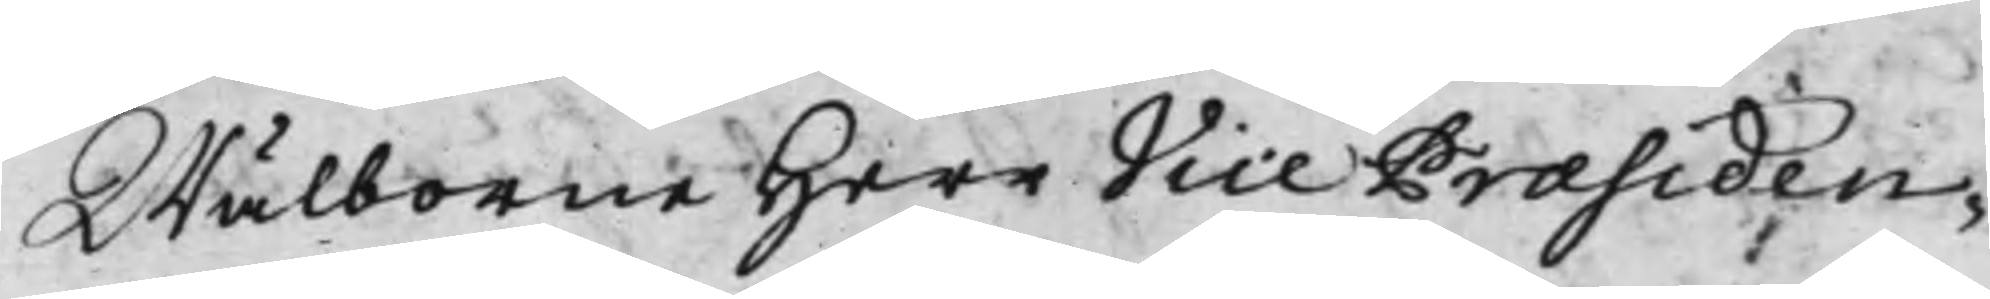Wälborne Herr Vice Præsiden¬
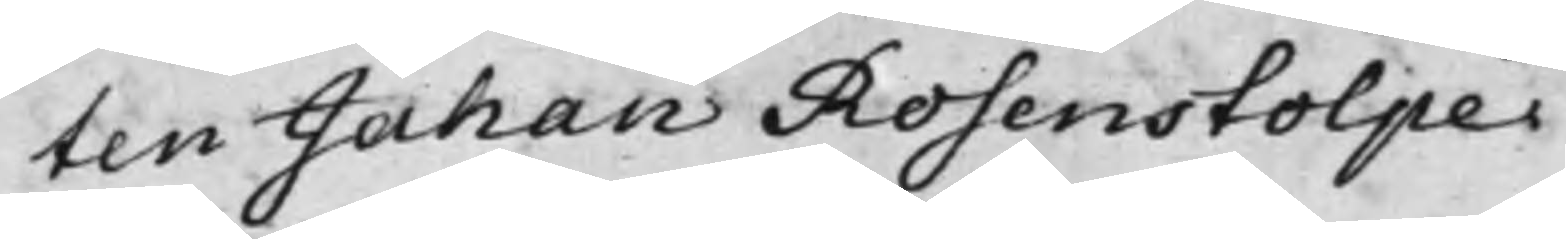ten Jahan Rosenstolpe.
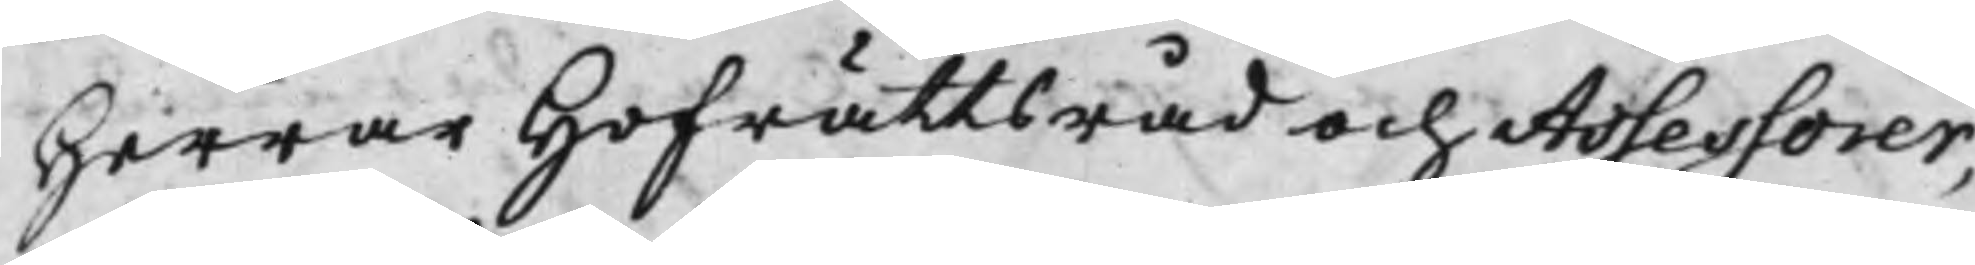Herrar Hofrättsråd och Assessorer,
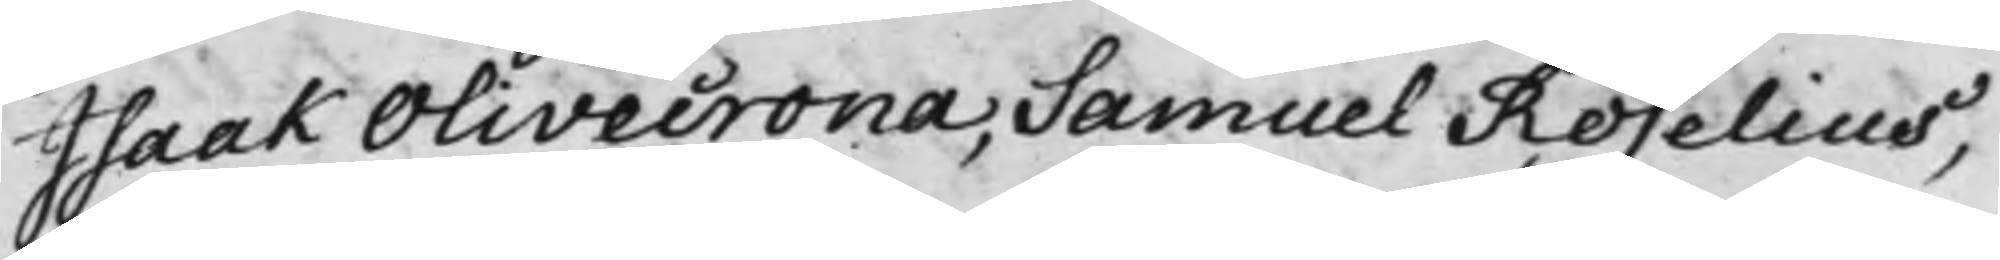Isaak Olivecrona, Samuel Roselius,
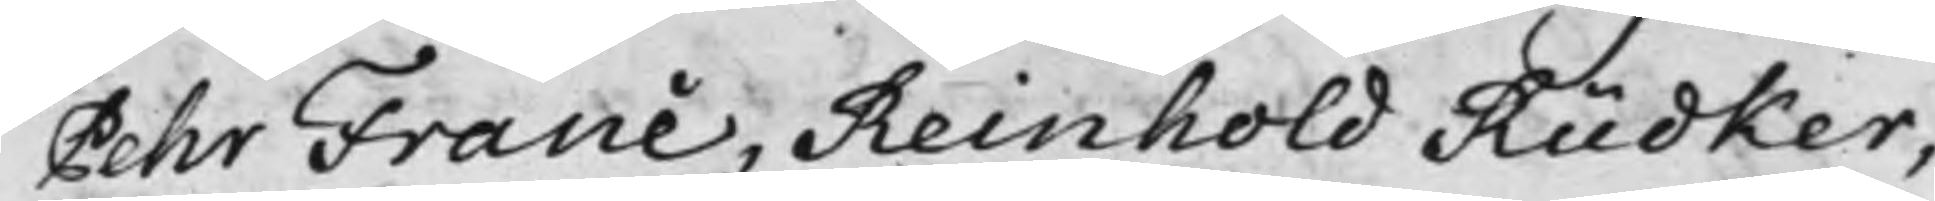Pehr Franc, Reinhold Rüdker,
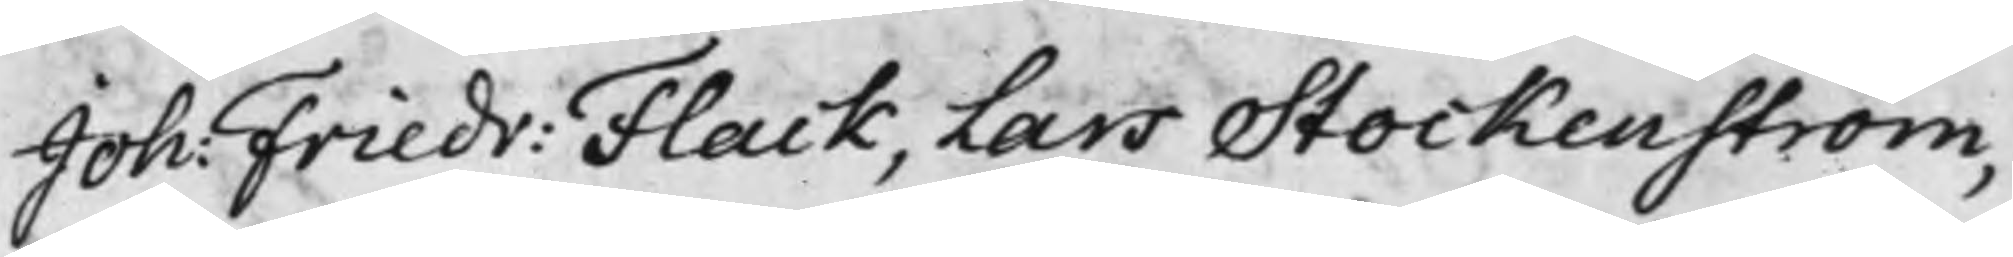Joh: Friedr: Flack, Lars Stockenström,
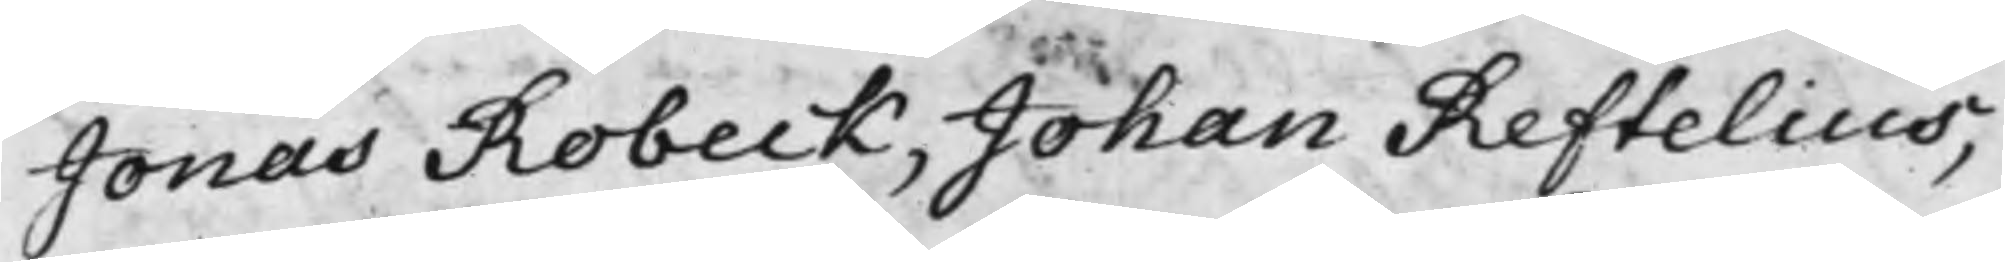Jonas Robeck, Johan Reftelius,
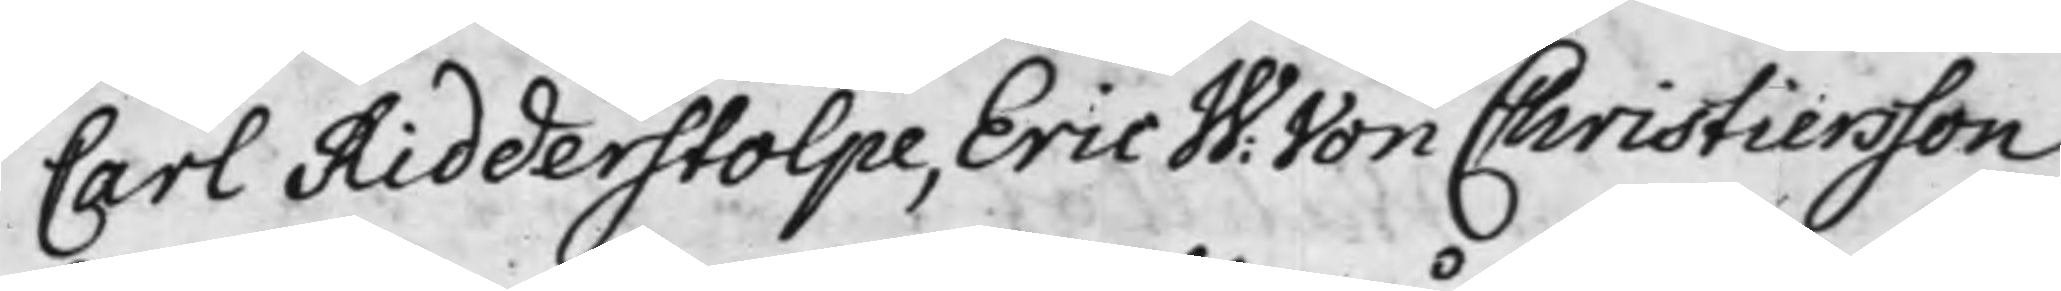Carl Ridderstolpe, Eric W: Christiersson
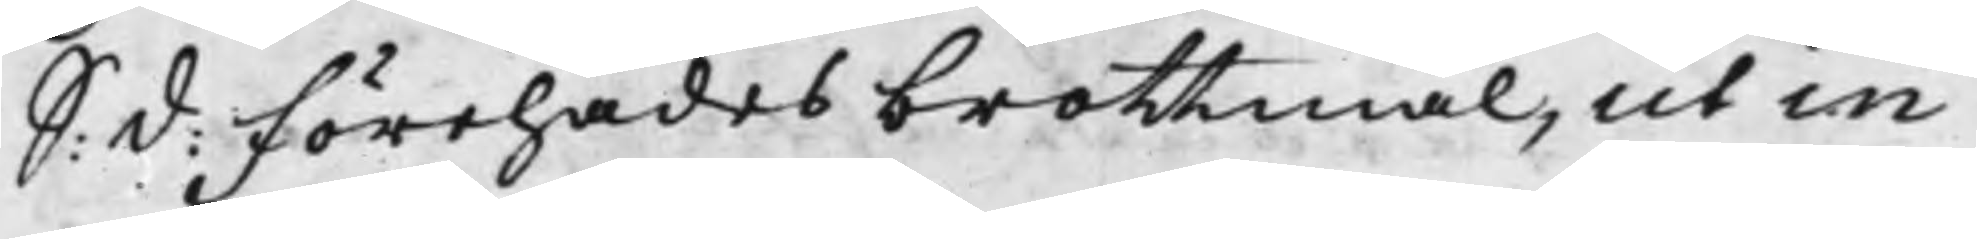S: d: Förehades brottmåk, ut in
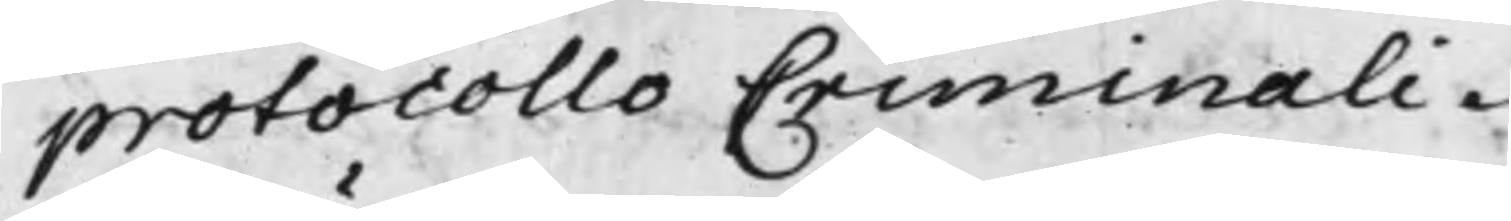protocollo Criminali.
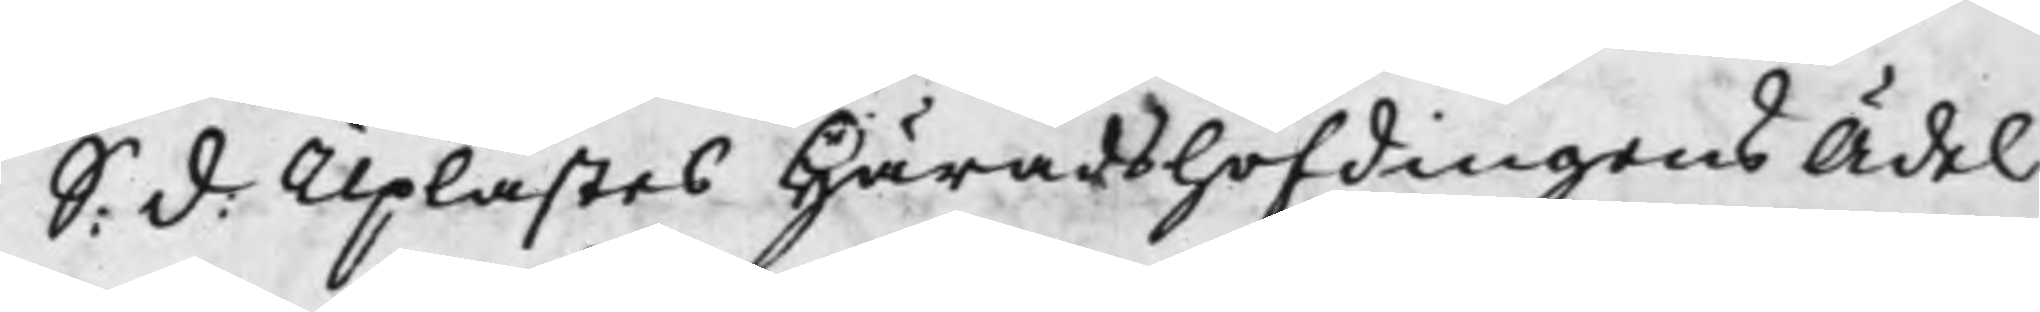S: d: Uplästes Häradshöfdingens Ädel
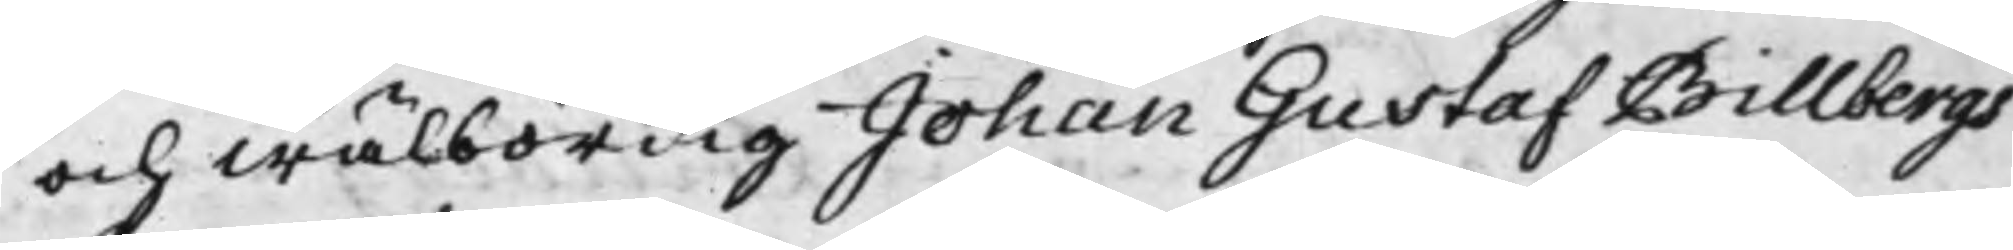och Wälbördig Johan Gustaf Billbergs
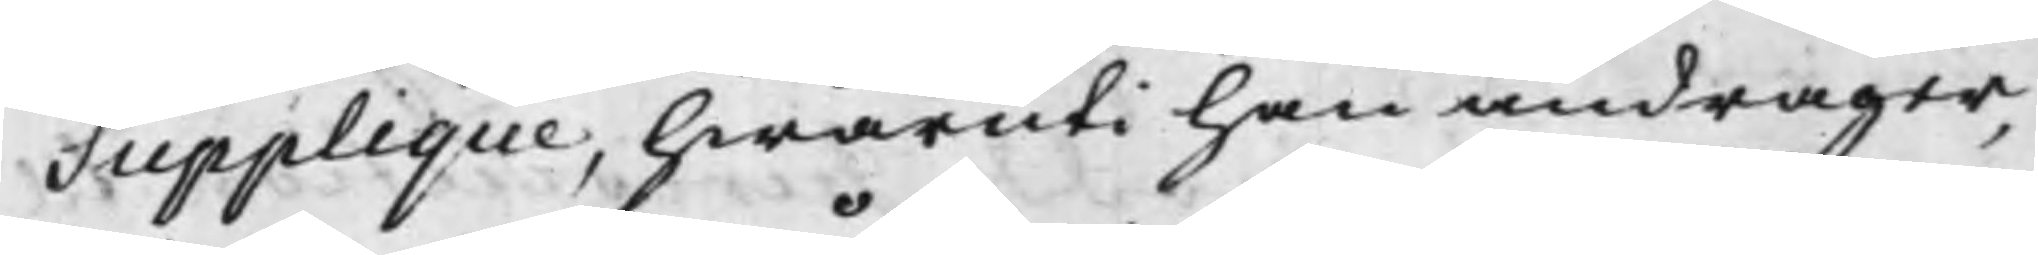Supplique, hwaruti han andrager,
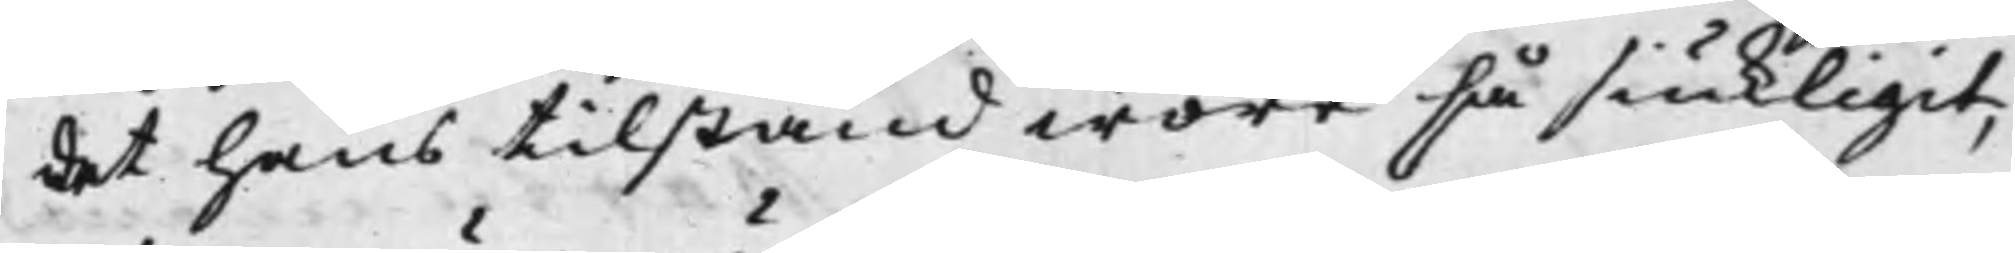det hans tilstånd wore så siukligit,
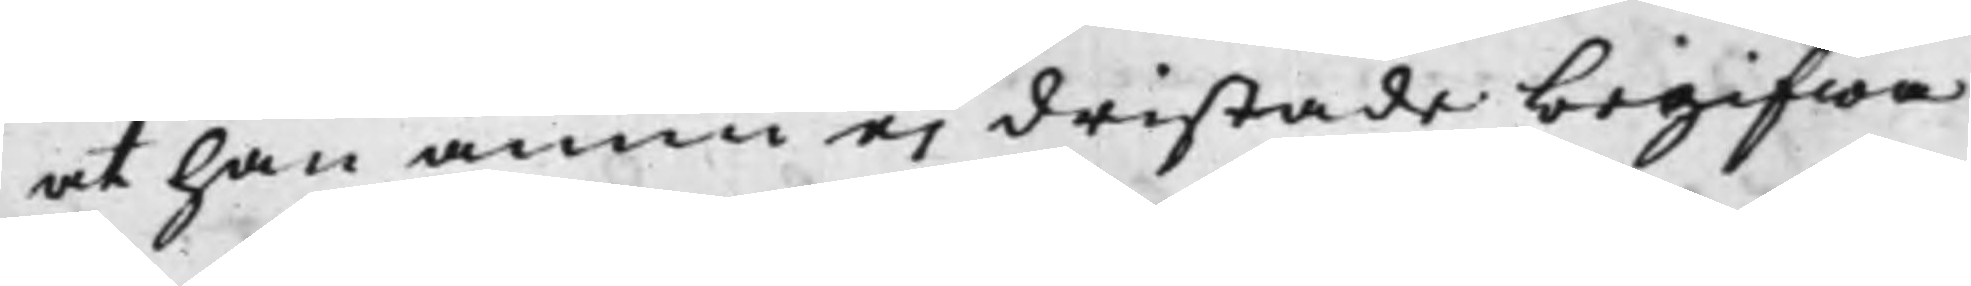at han ännu ej dristade begifwa
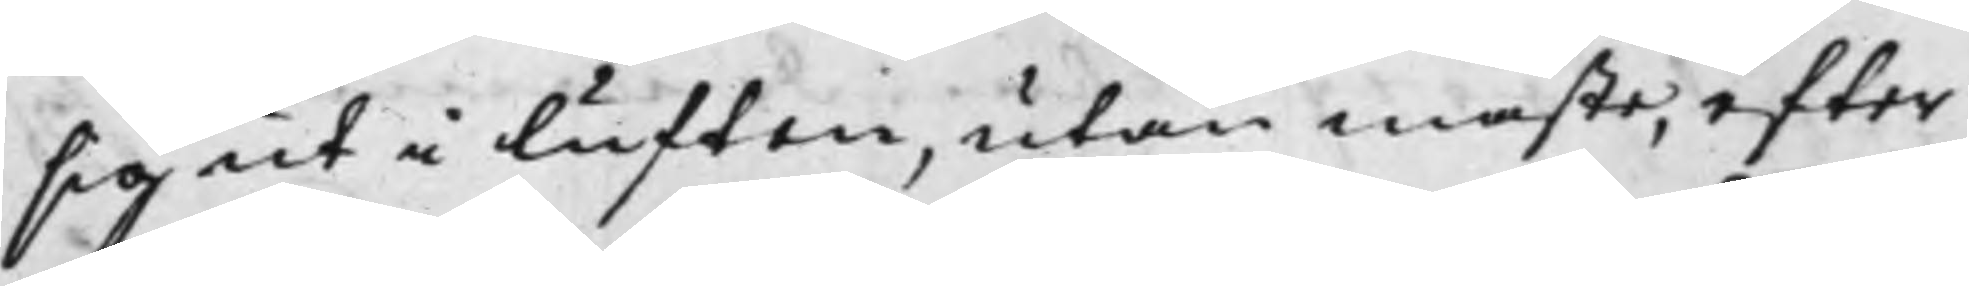sig ut i luften, utan måste, efter
